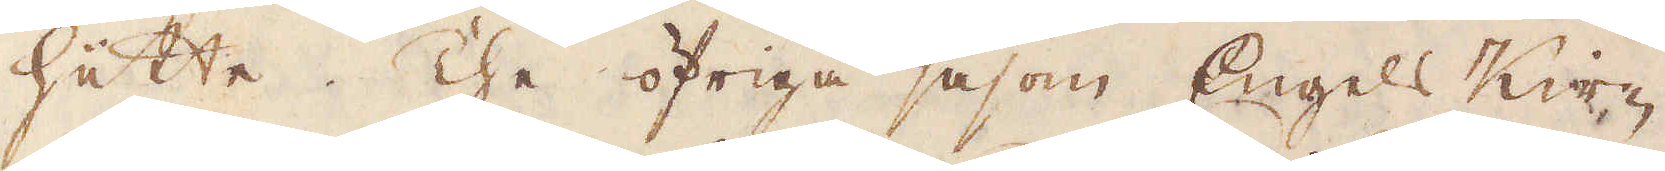hüätte. The öfriga såsom Engels Kir-
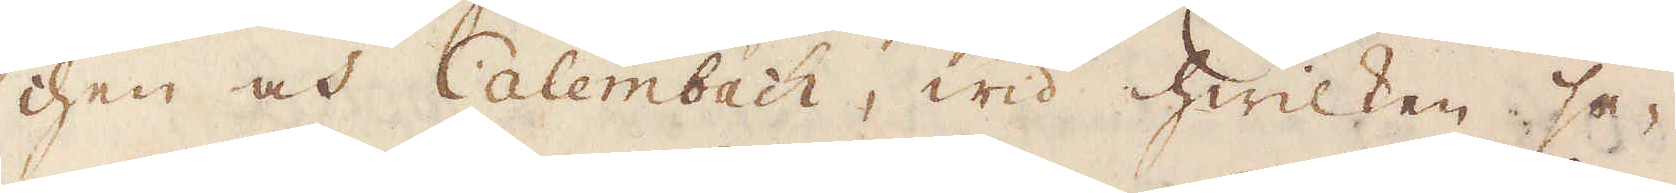chen och Calembach, wid hwilken se-
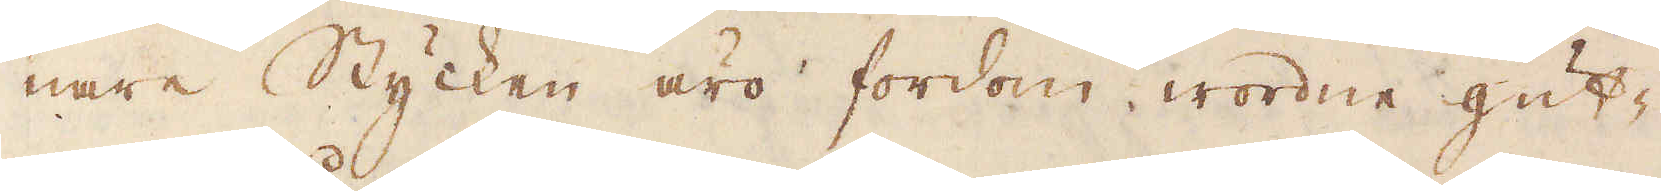nare Stycken äro fordom wordne gut-
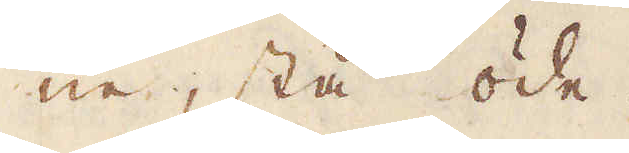ne, stå öde.
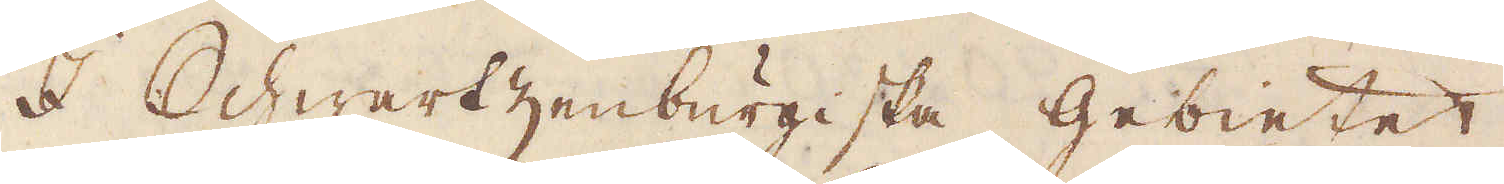I Schwartzenburgiska Gebietet
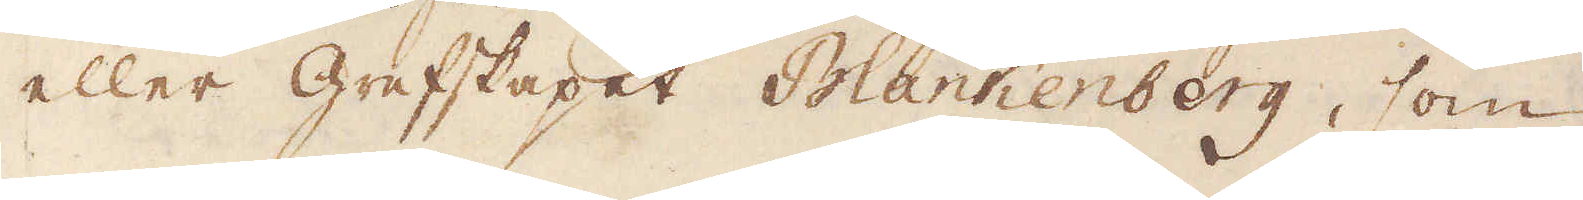eller grefskapet Plankenberg, som
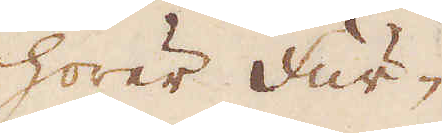hörer Fur-
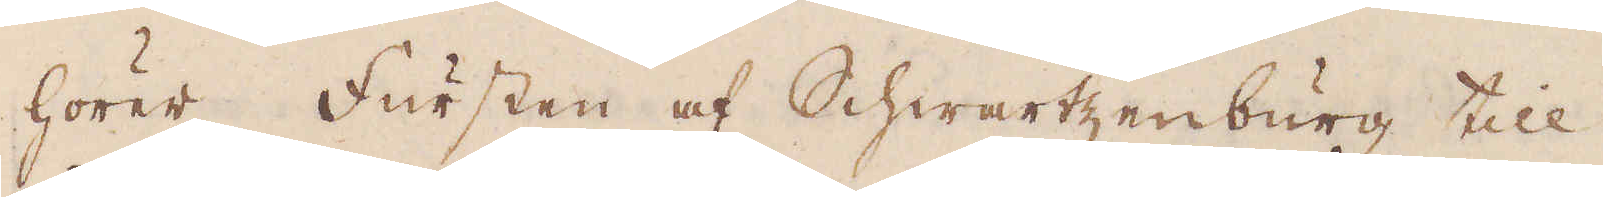hörer Fursten af Schwartzenburg till
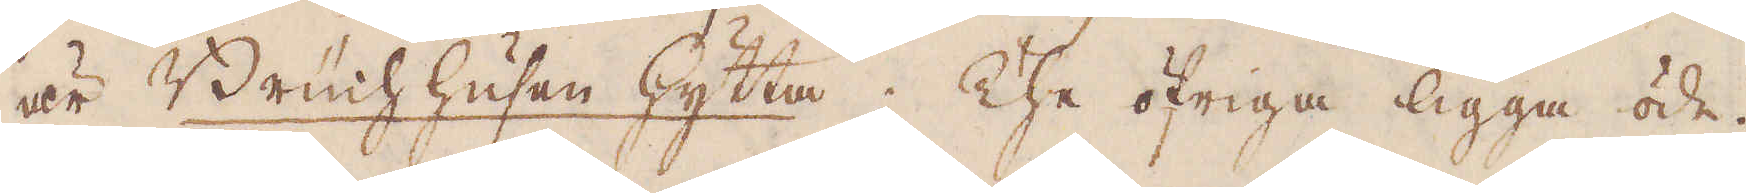är Brücnhhusen hytta. The öfriga ligga öde.
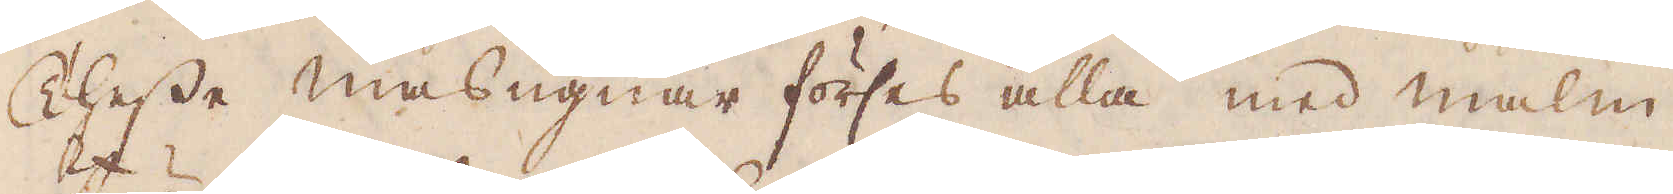Thesse masugnar förses alla med malm
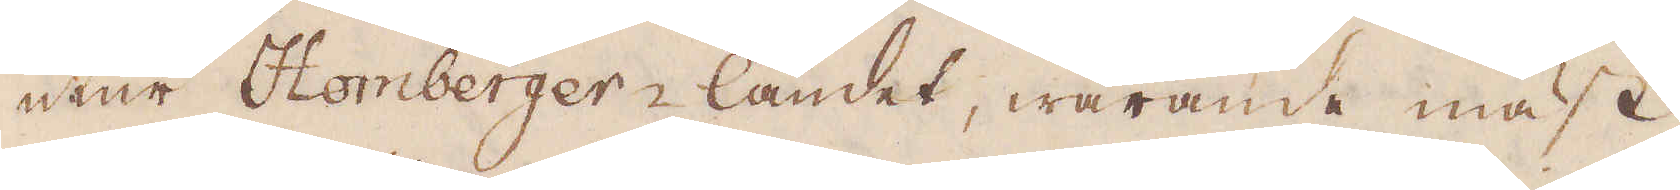utur Homberger-landet, warande mäst
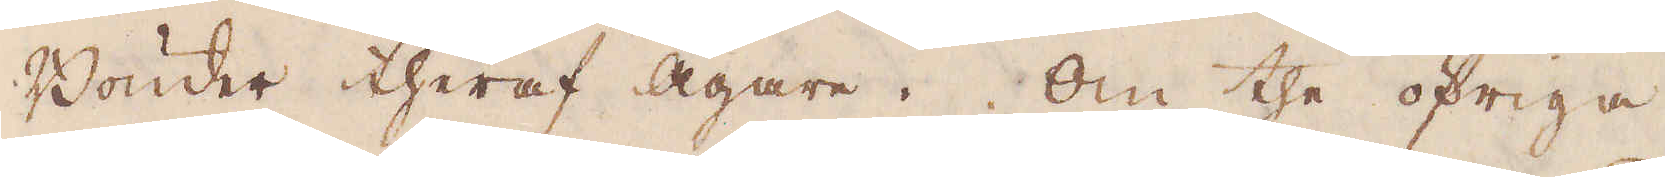Bönder theraf Ägare. Om the öfriga
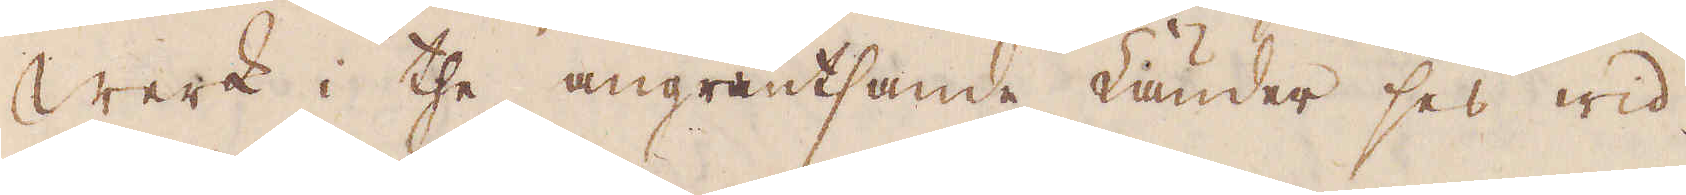Werk i the angräntsande Länder ses wid
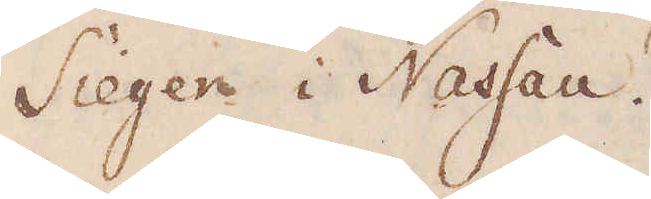Sieger i Nassau.
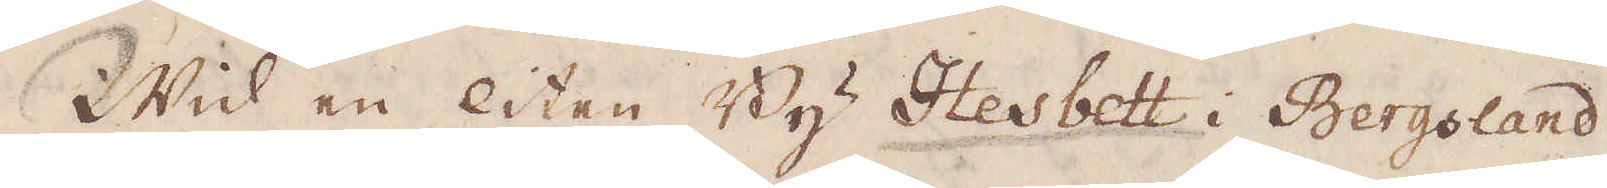Wid en liten By Hesbett i Bergsland
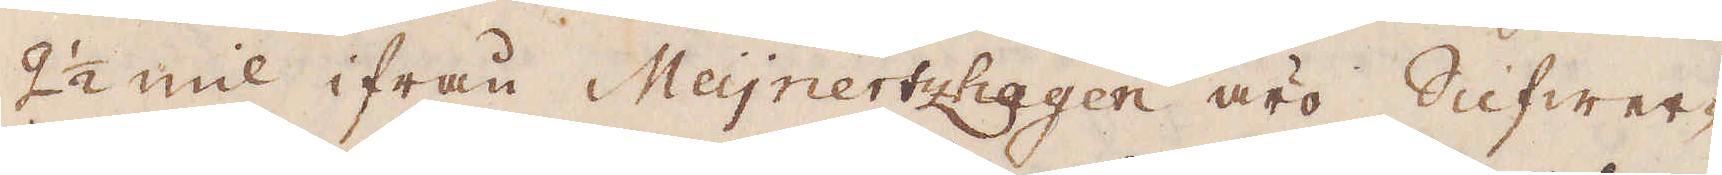2 1/2 mil ifrån Meÿijnertzhagen äro Silfwer-
